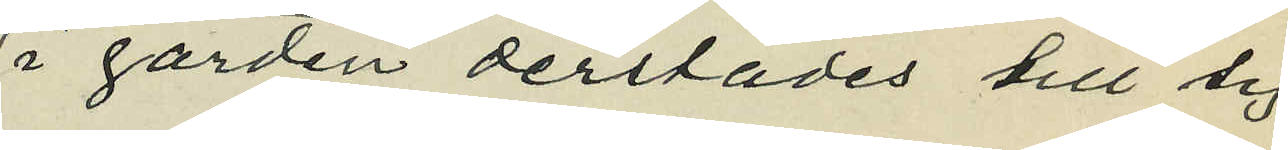i gården derstädes till sig
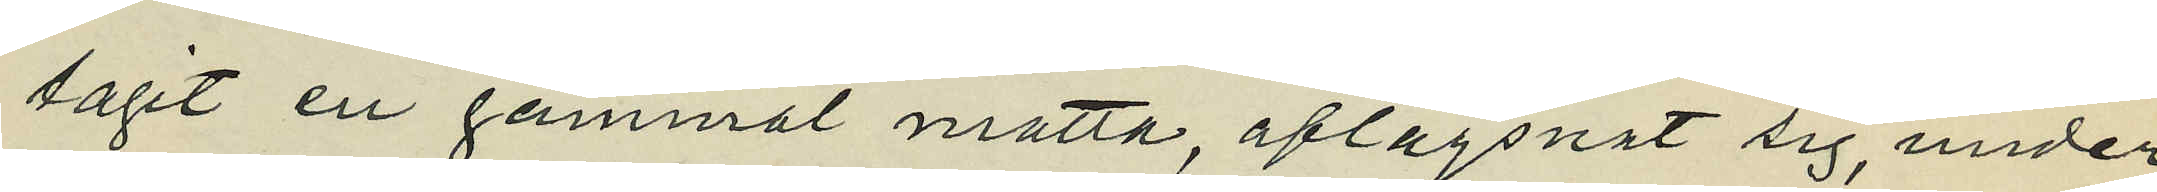tagit en gammal matta, aflägsnat sig, under
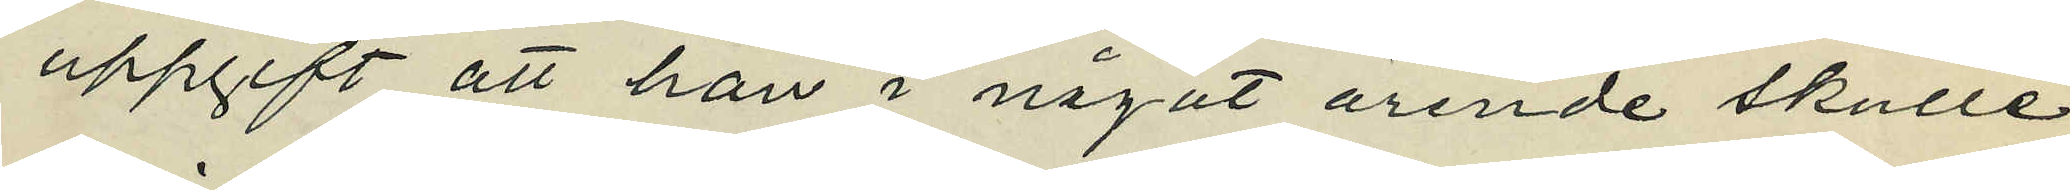uppgift att han i något ärende skulle
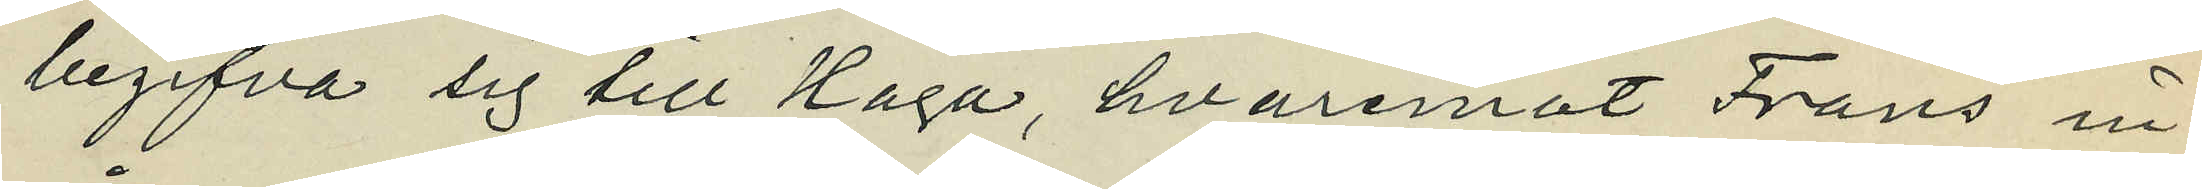begifva sig till Haga, hvaremot Frans in¬
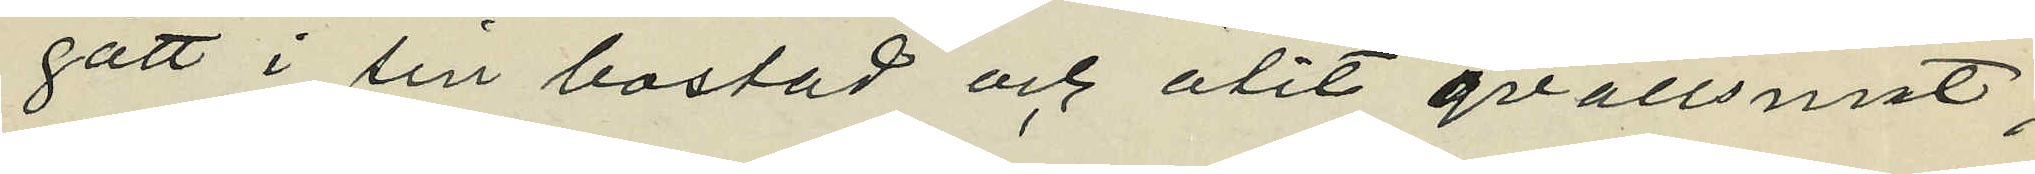gått i sin bostad och ätit qvällsmat;
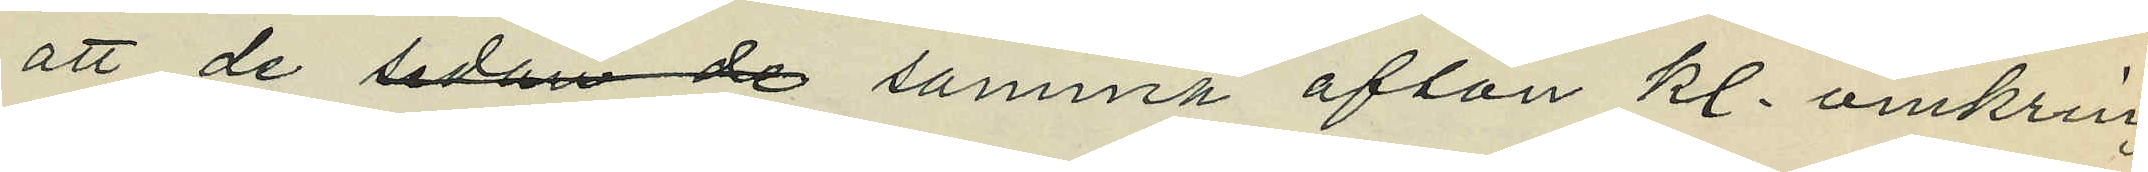att de sedan de samma afton kl. omkring
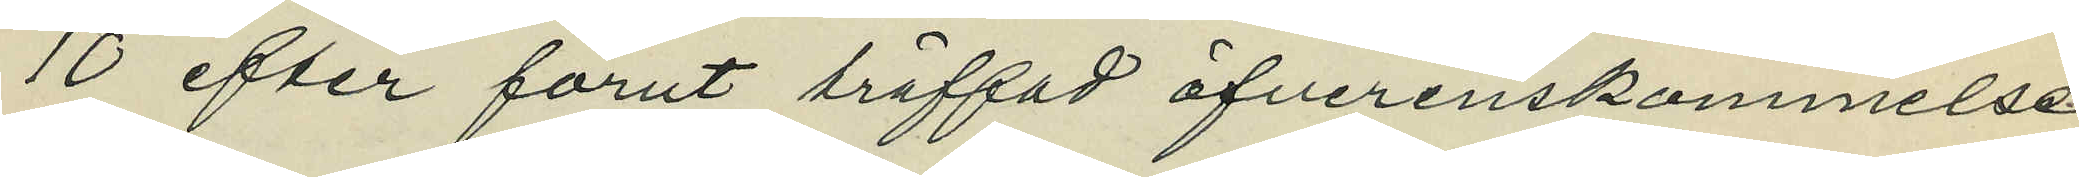10 efter förut träffad öfverenskommelse
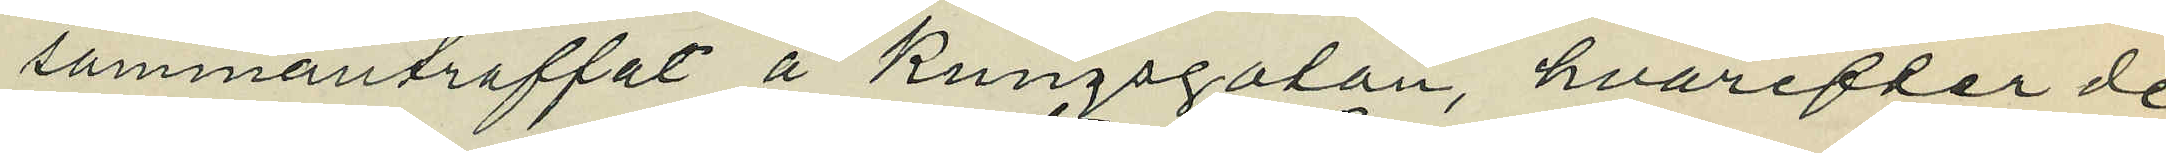sammanträffat å Kungsgatan, hvarefter de
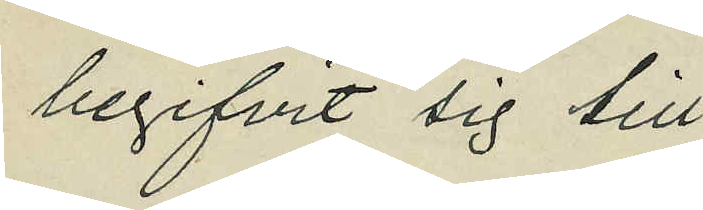begifvit sig till
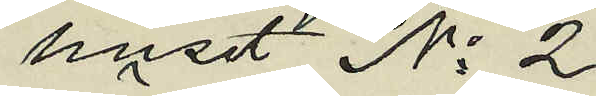huset No 2
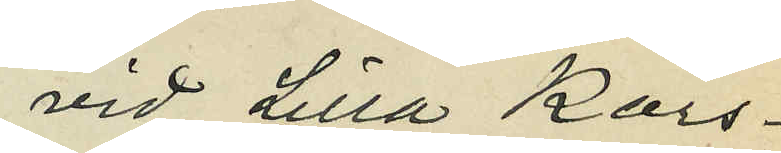vid Lilla Kors¬
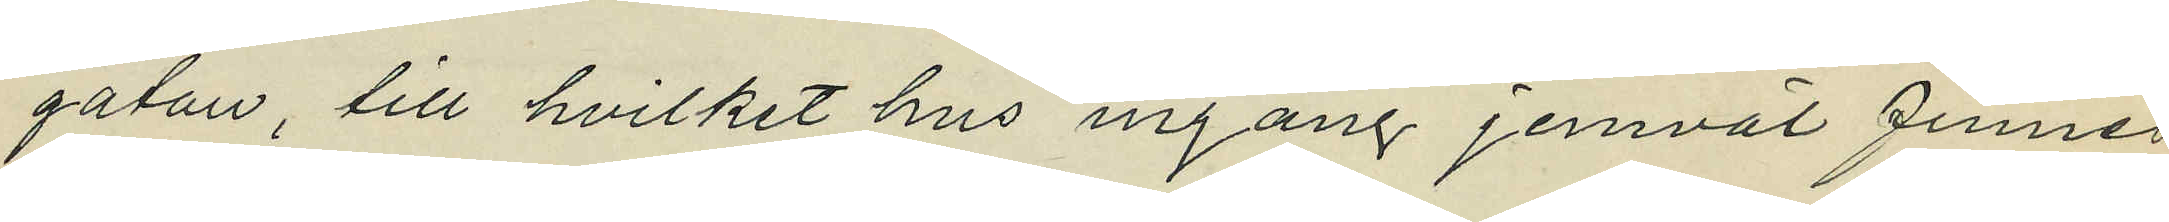gatan, till hvilket hus ingång jemväl finnes
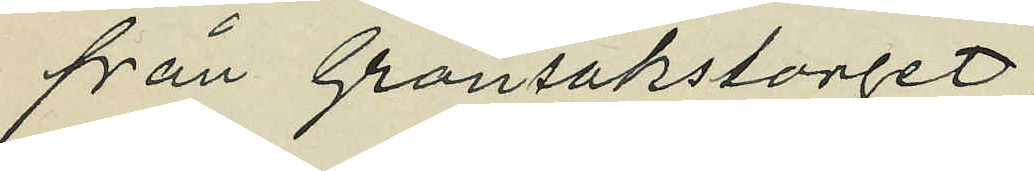från Grönsakstorget;
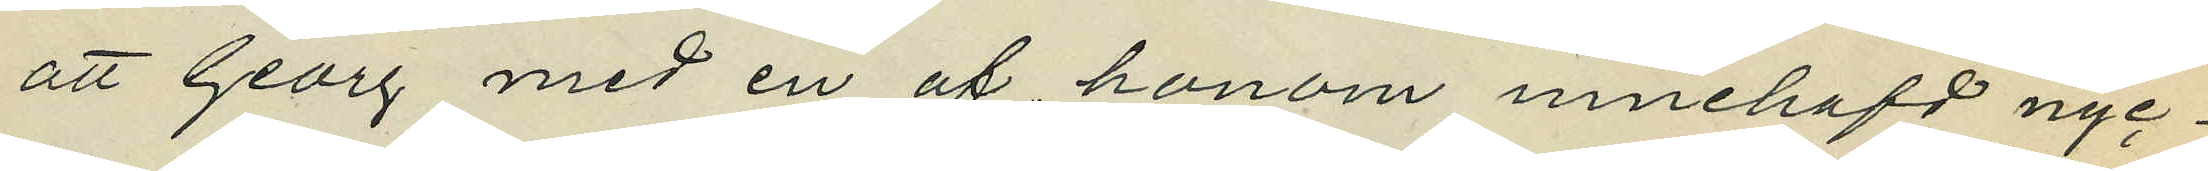att Georg med en af honom innehafd nyc¬
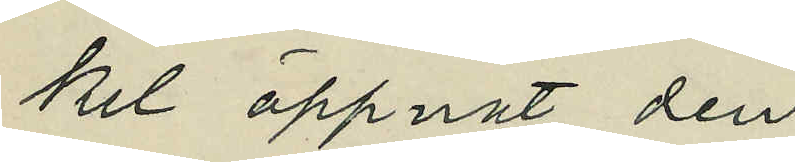kel öppnat den
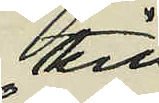till
